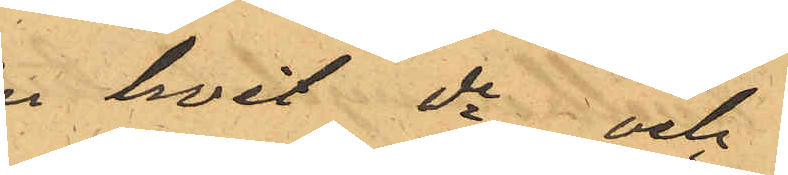en hvit do och
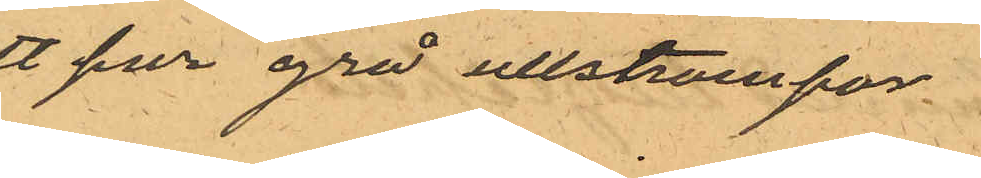ett par grå ullstrumpor
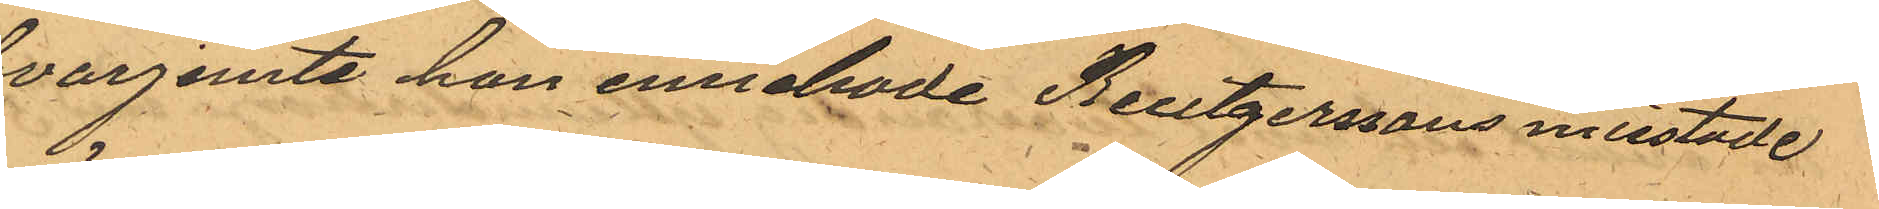hvarjemte han innehade Reutgerssons misstade
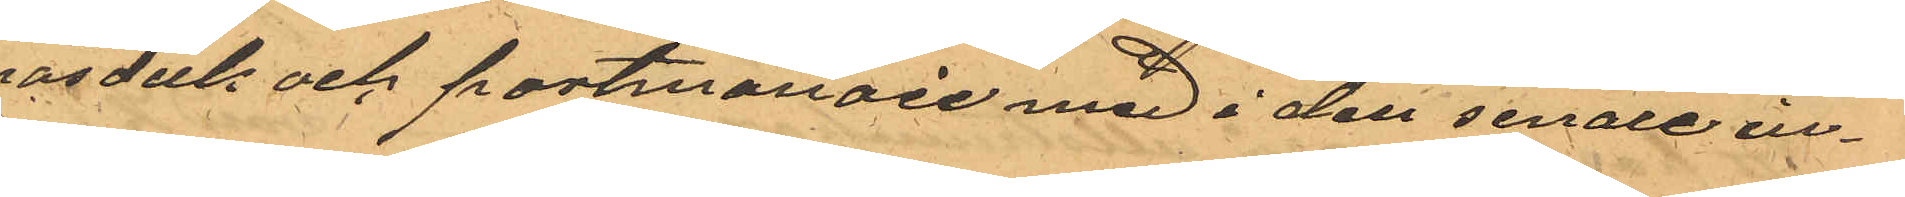näsduk och portmonaie med i den senare in¬
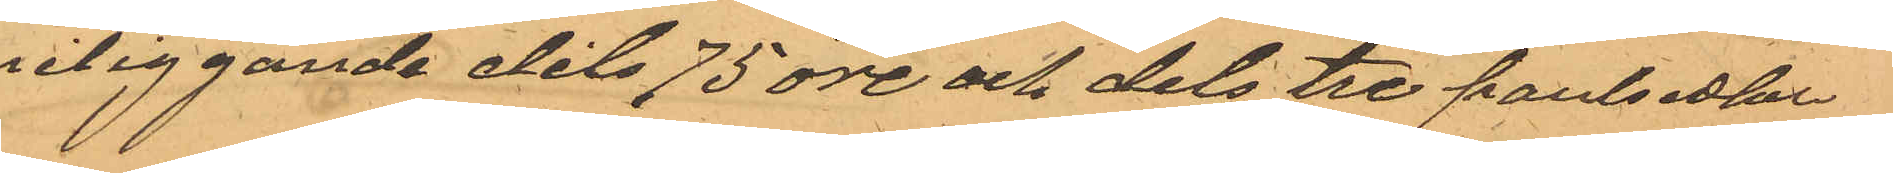neliggande dels 75 öre och dels tre pantsedlar
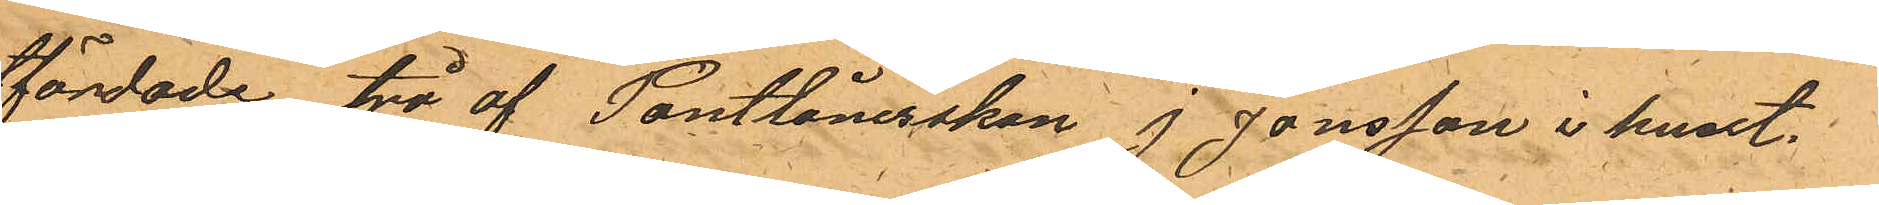utfärdade, två af Pantlånerskan J Jonsson i huset
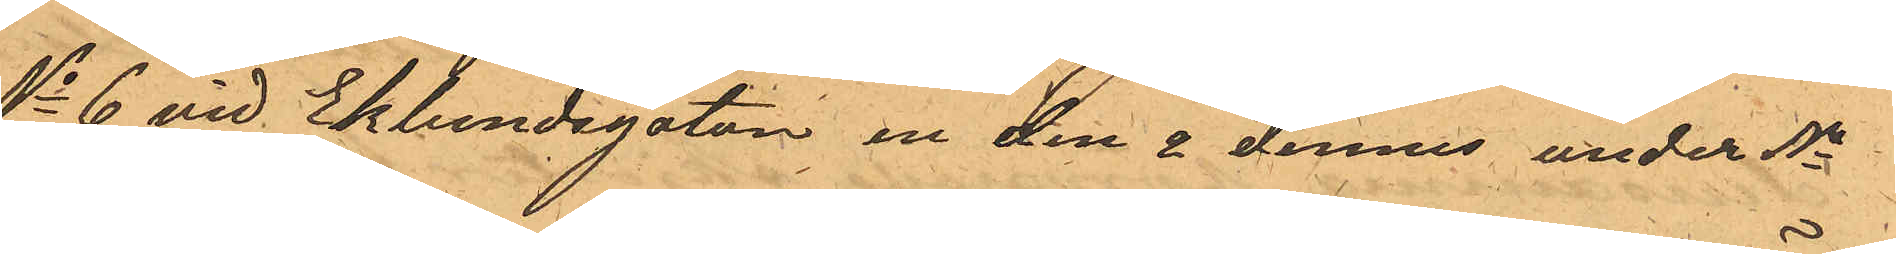No 6 vid Eklundsgatan, en den 2 dennes under No
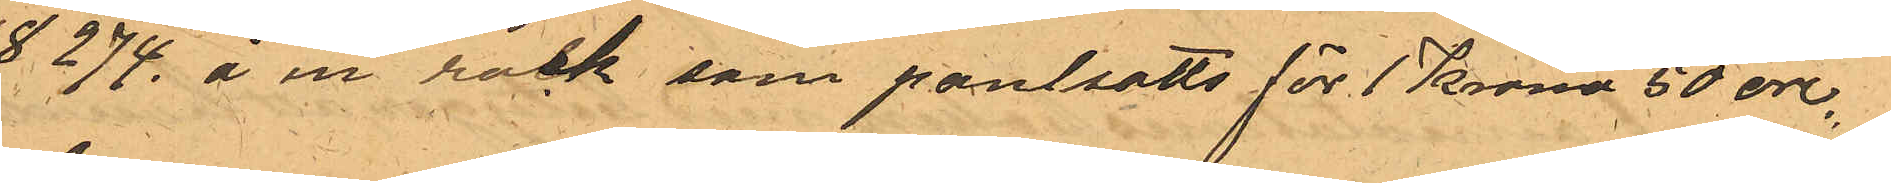18 274 å en rock som pantsatts för 1 Kronor 50 öre.
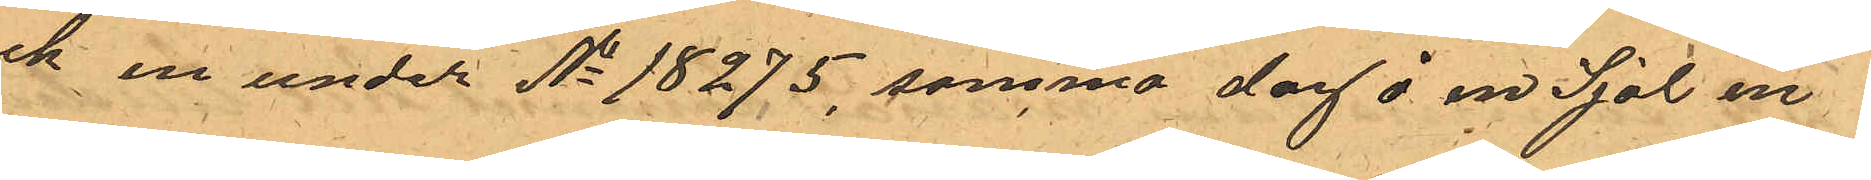och en under No 18275, samma dag å en Sjal en
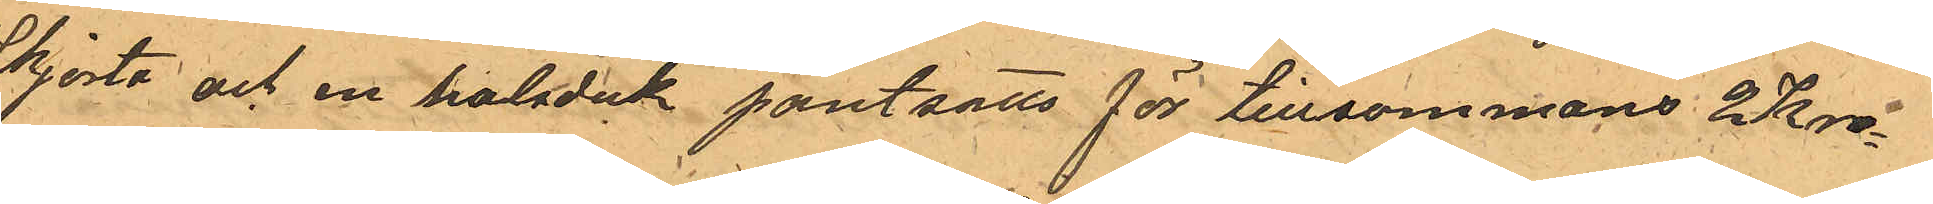Skjorta och en halsduk pantsatts för tillsammans 2 Kro¬
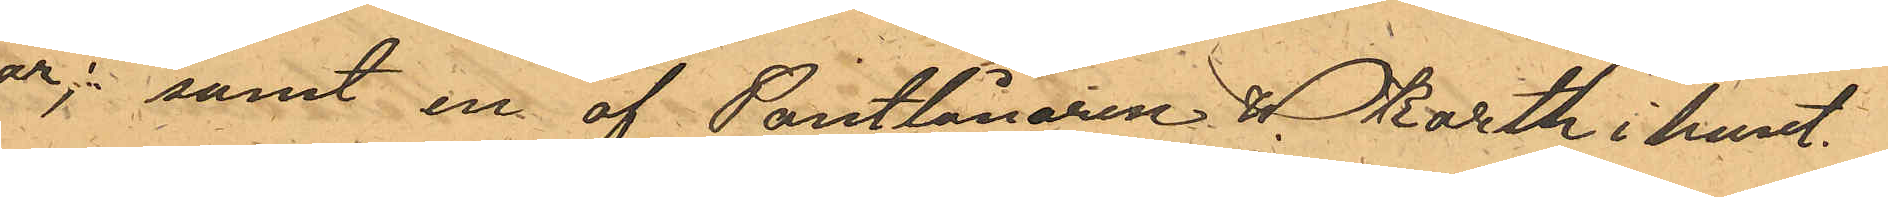nor; samt en af Pantlånaren W. Karth i huset
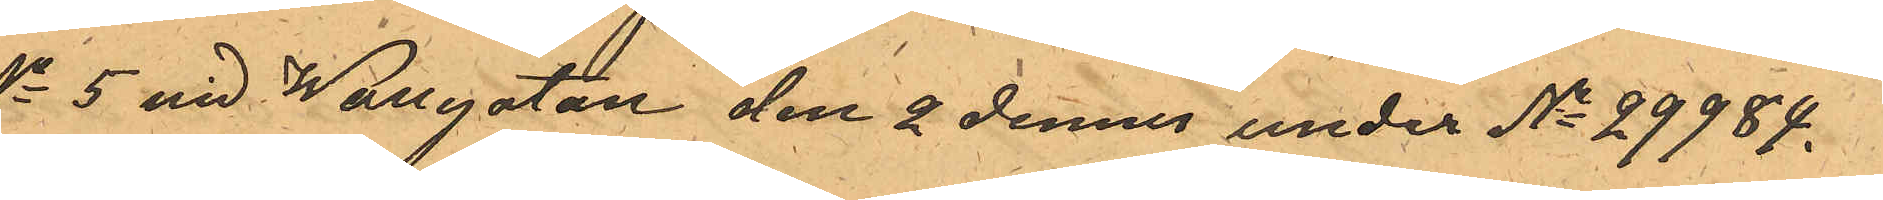No 5 vid Wallgatan den 2 dennes under No 29984,
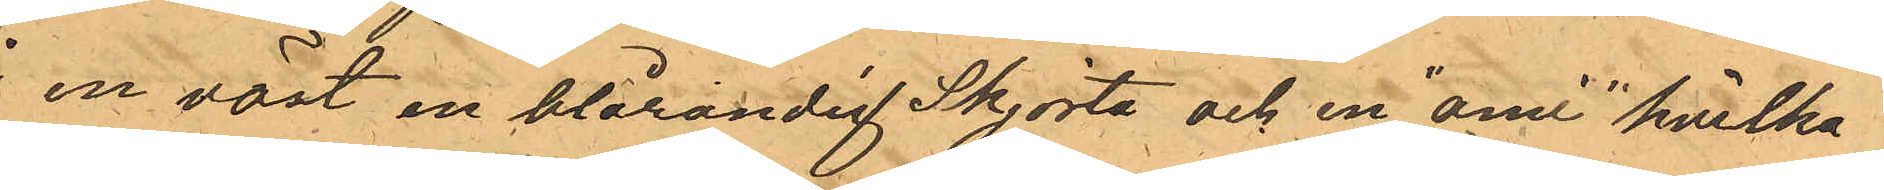å en väst en blårandig Skjorta och en "ami" hvilka
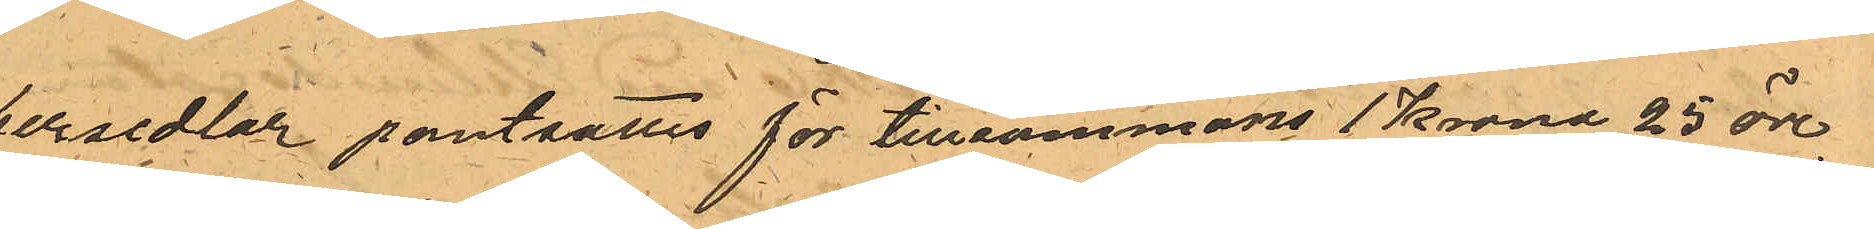persedlar pantsattes för tillsammans 1 Krona 25 öre.
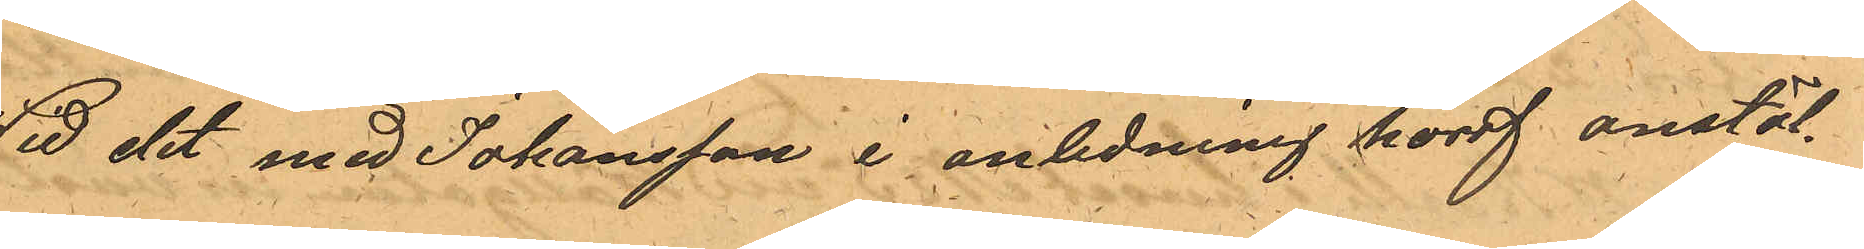Wid det med Johansson i anledning häraf anstäl¬
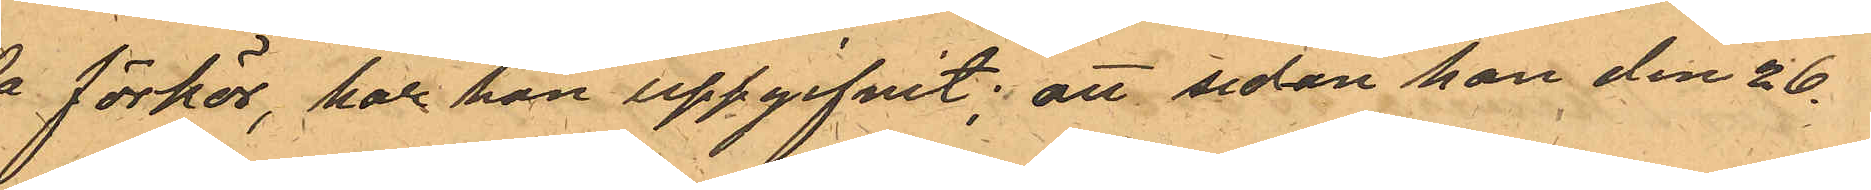da förhör, har han uppgifvit; att sedan han den 26.
